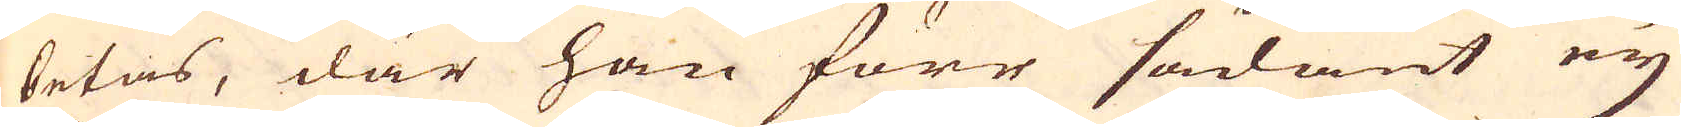betas, där han förr sådant ey
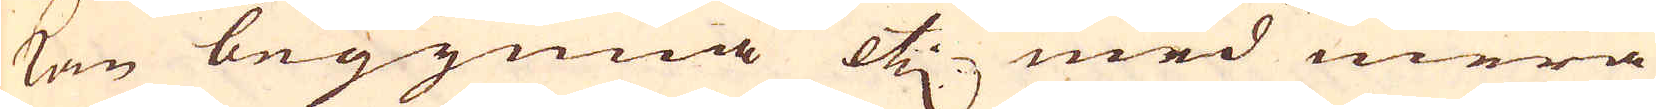kan begynna etc med mera
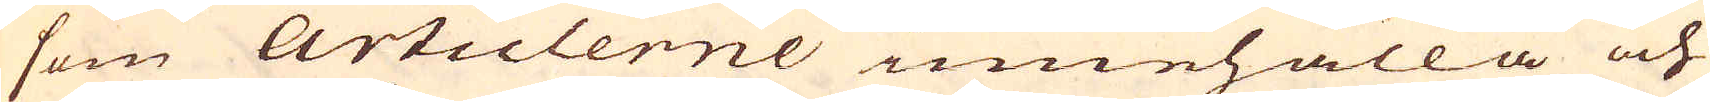som Articlerne innehålla och
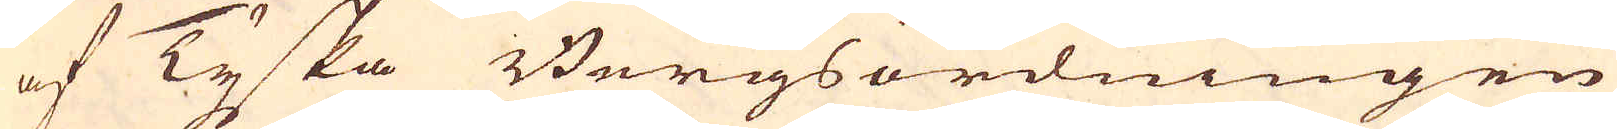af Tyska Bergsordningen
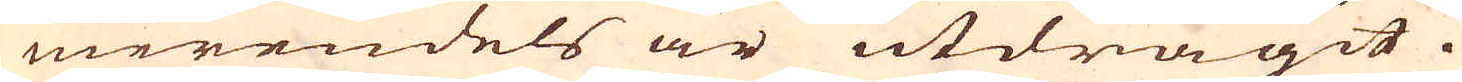merendels är utdragit.
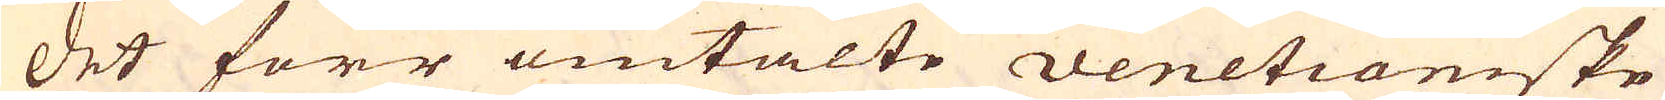Det förr omtalte venetianiske
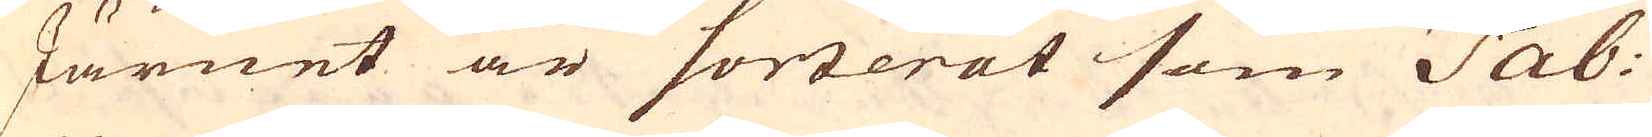Järnet är sorterat som Tab:
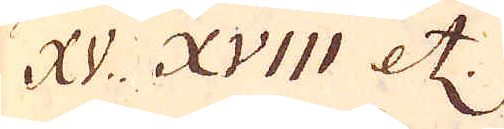XV. XVIII etc.
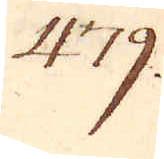479.
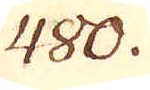480.
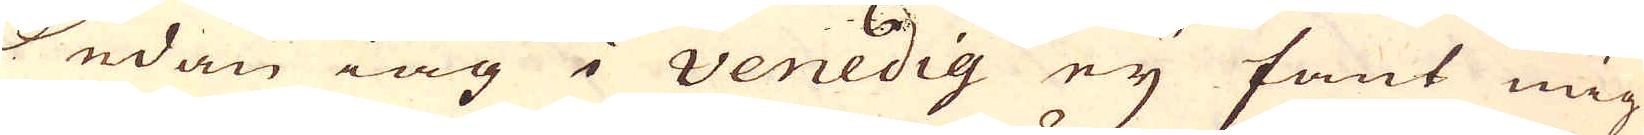Sedan iag i Venedig ey fant mig
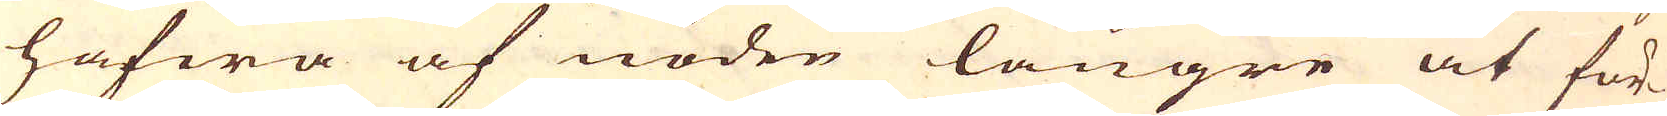hafwa af nöden längre at för-
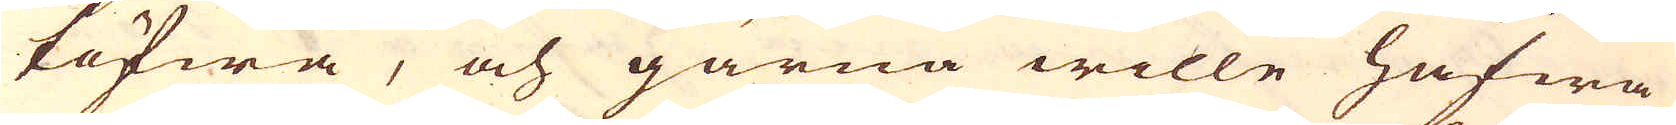töfwa, och gärna wille hafwa
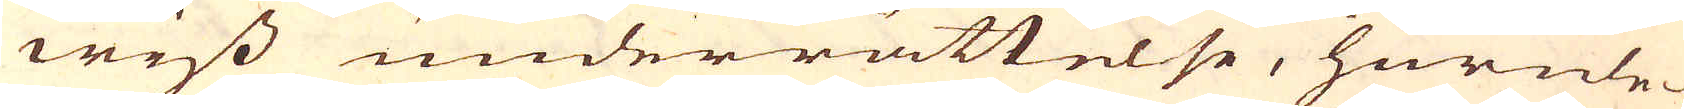wiss underrättelse, hurule-
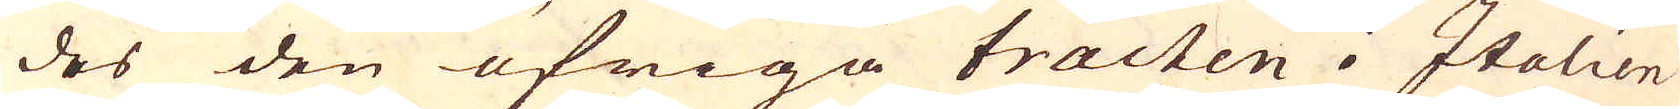des den öfriga tracten i Italien
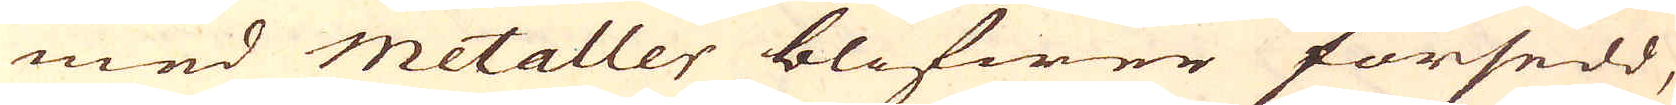med metaller blifwer försedd,
